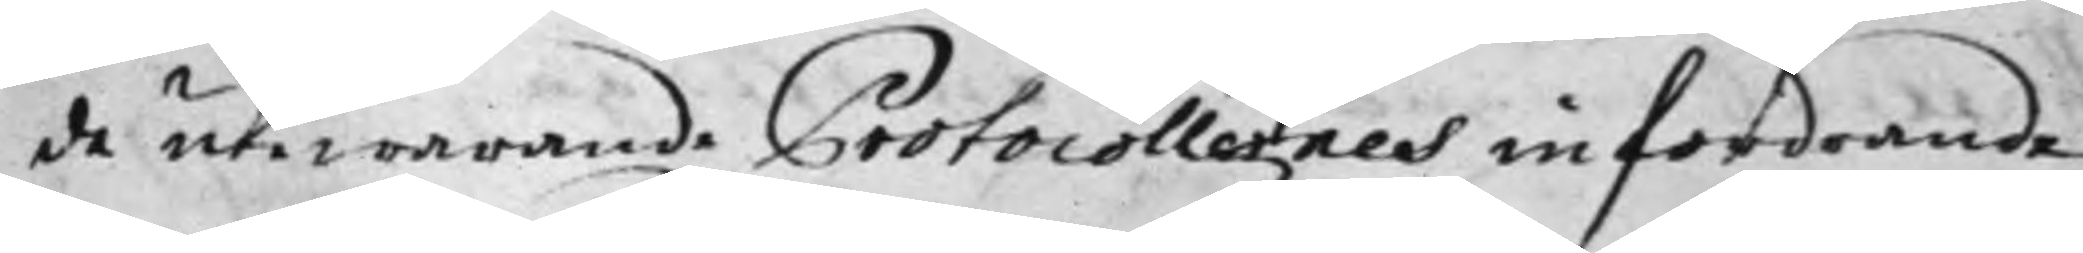de utewarande Protocollernes infordrande;
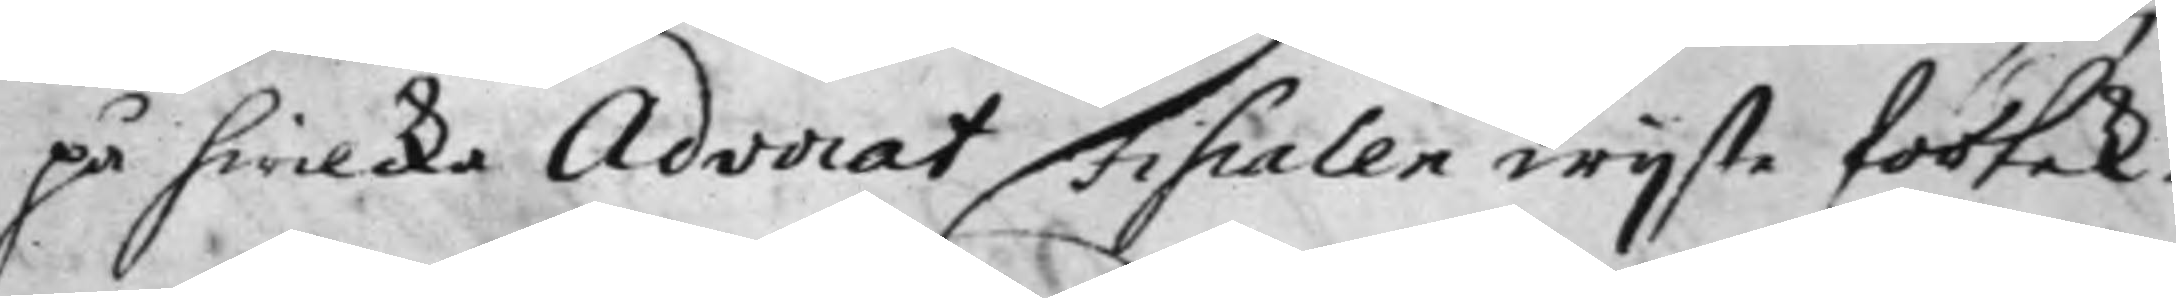på hwilka Advocat Fiscalen wijste försäk¬
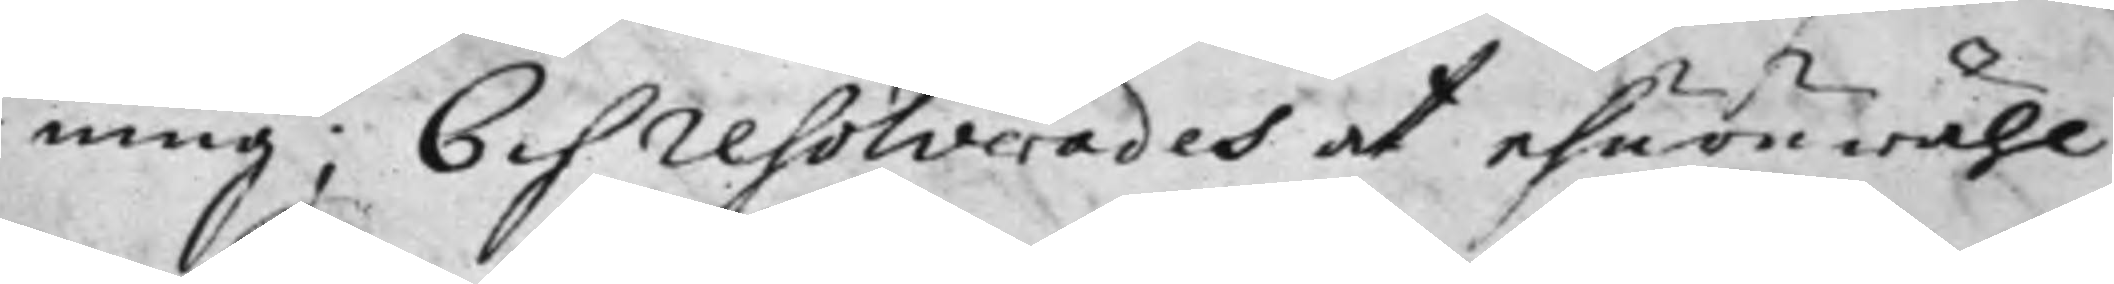ning; Och resolverades at ehuru wähl
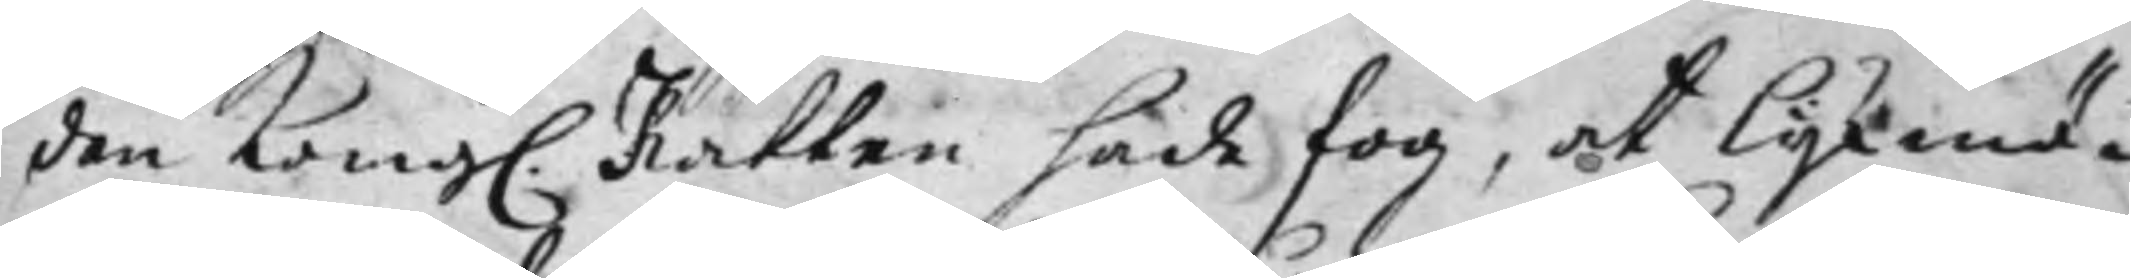den Kong. Rätten hade fog, at Lijkmä¬
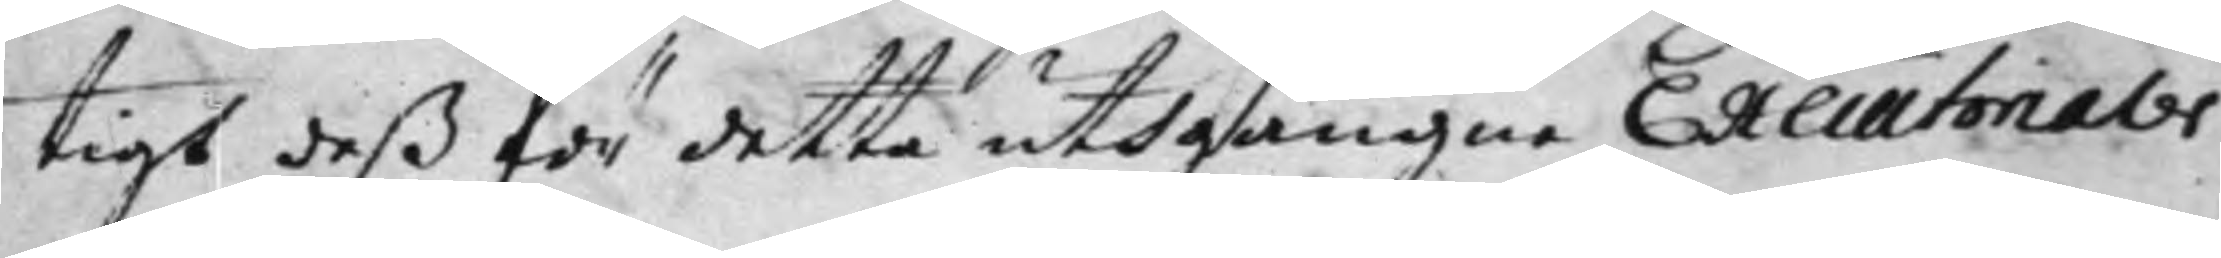tigt deß för detta uthgångne Executiorialer
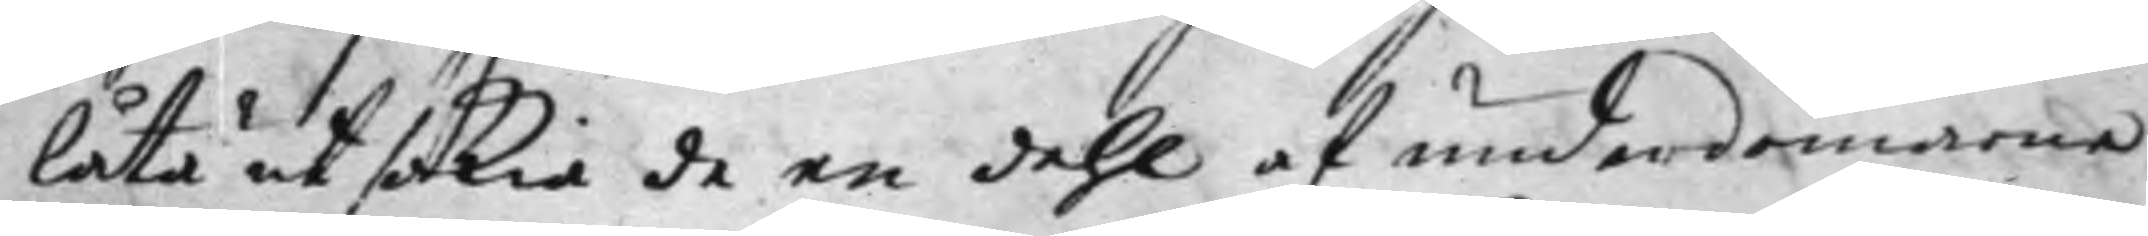låta utsökia de en dehl af underdomarna
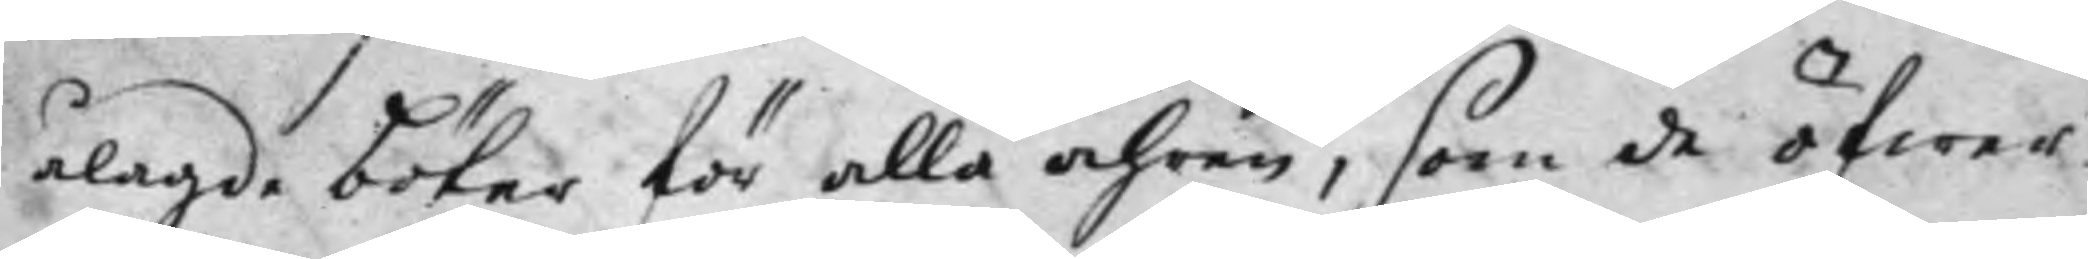ålagde böter för alla åhren, som de öfwer
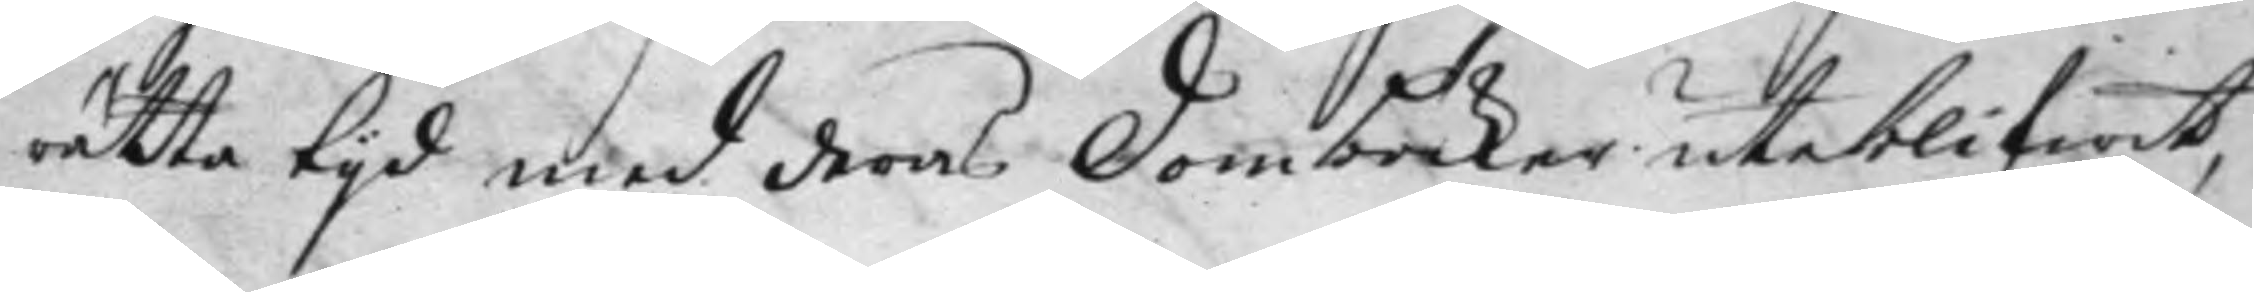rätta tijd med deras Domböcker uteblifwit,
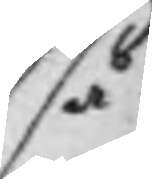så
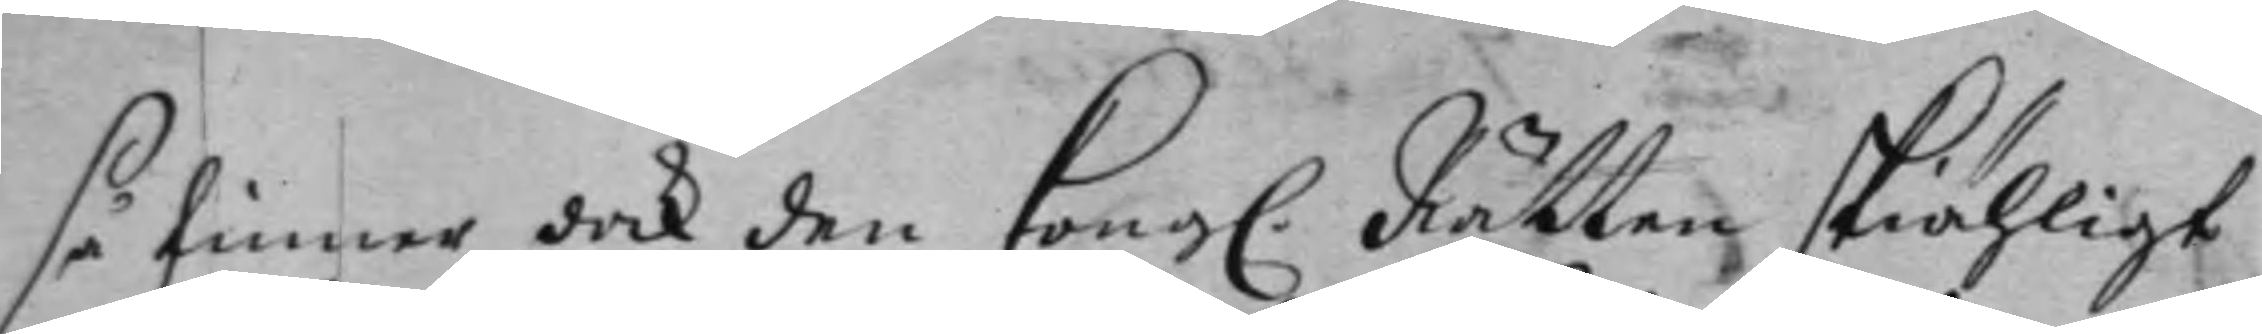så finner dock den Kong. Rätten skiähligt
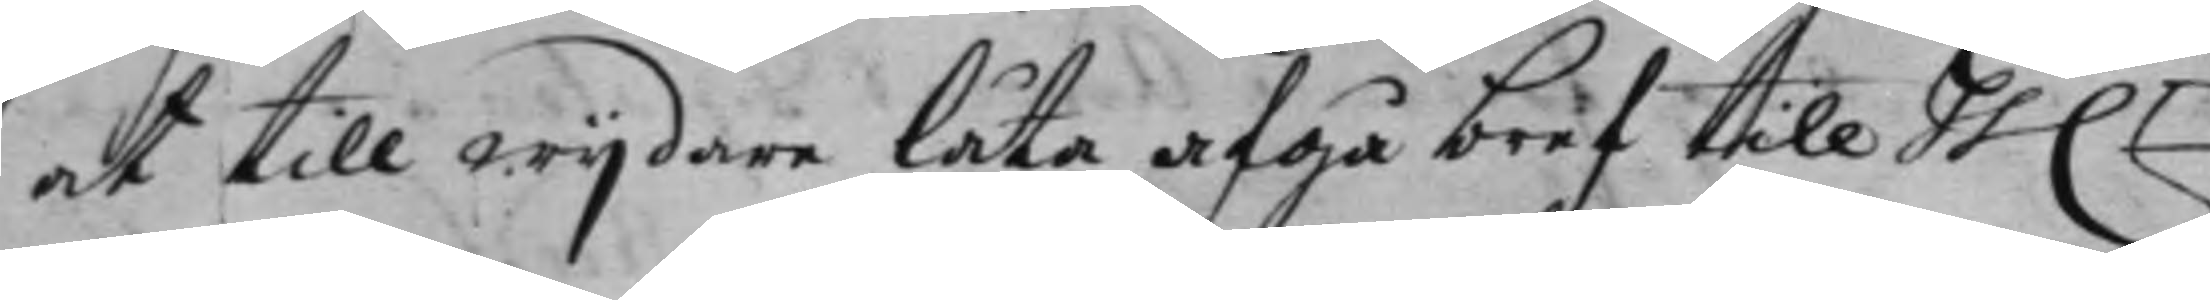at till wijdare låta afgå bref till hh.r
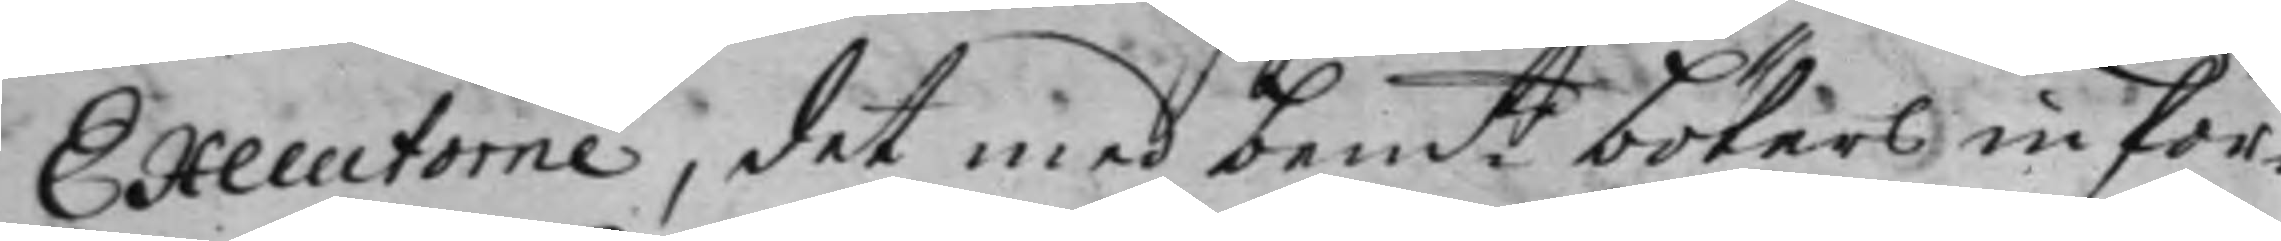Executorne, det med bem:te böters infor¬
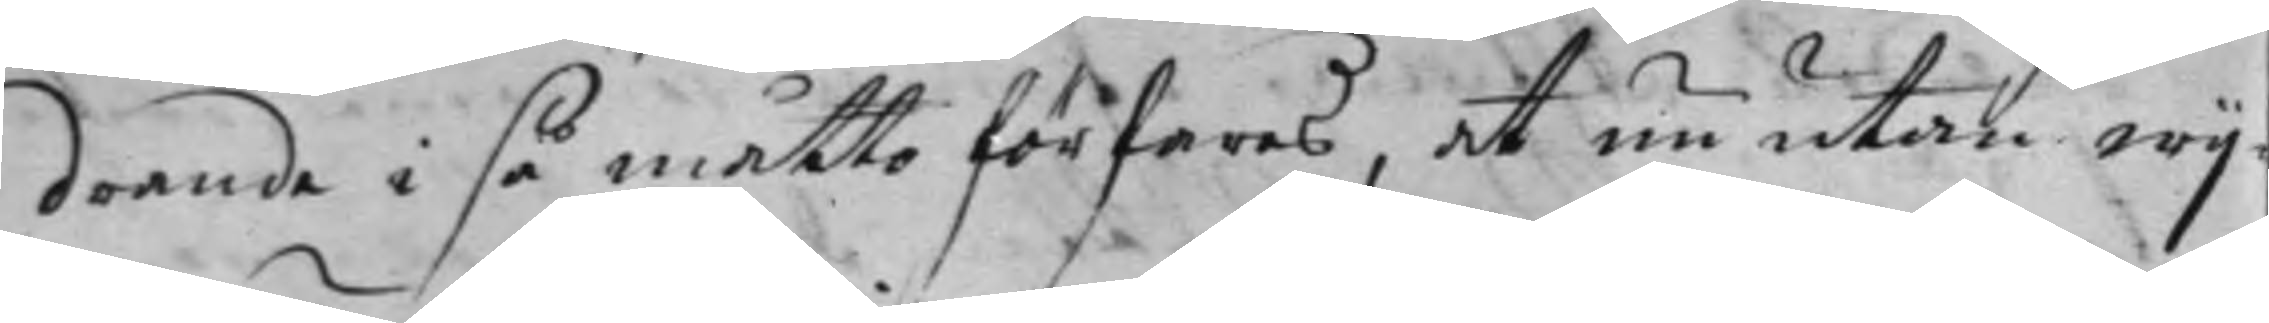drande i så måtto förfaras, at nu utan wij¬
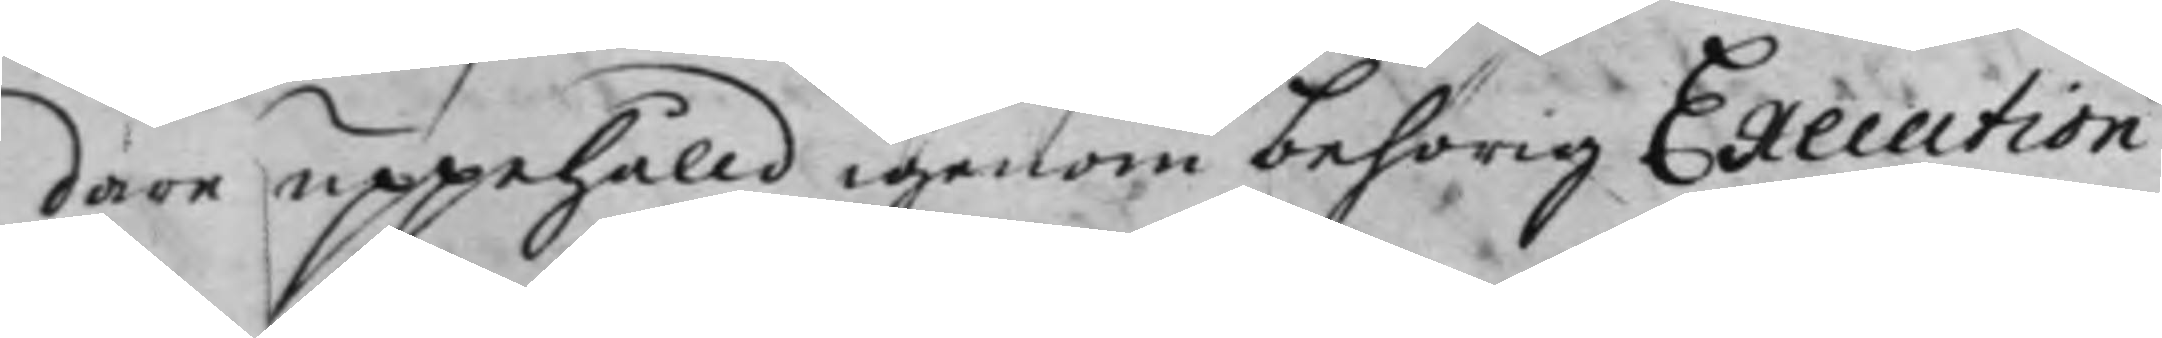dare uppehåld igenom behörig Execution
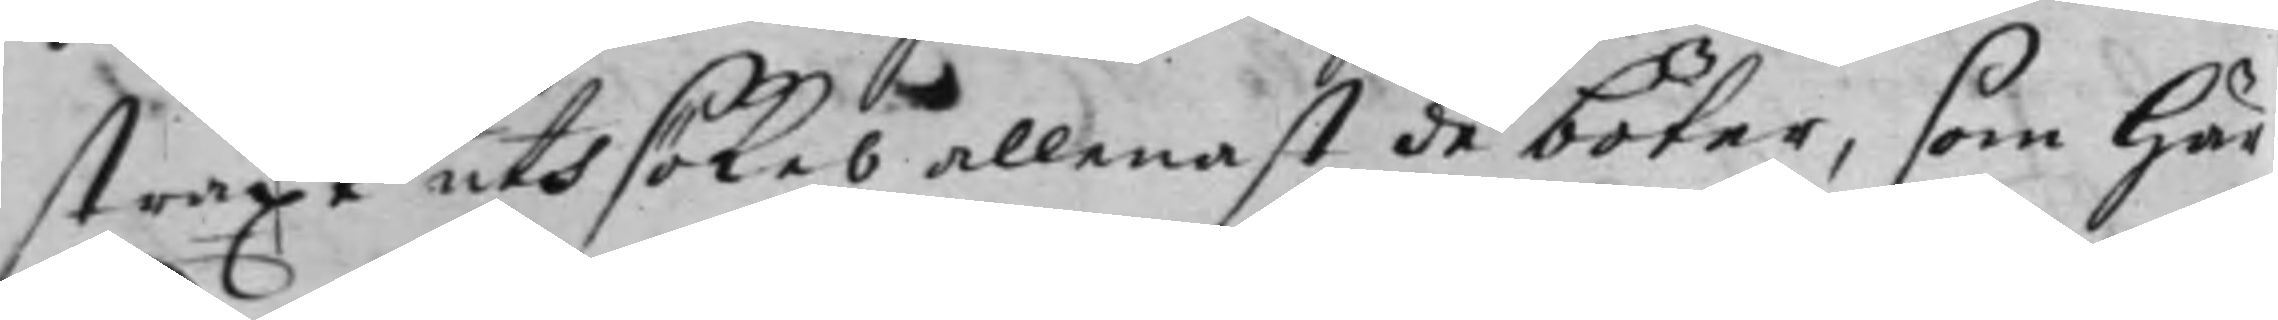straxt uthsökes allenast de böter, som här
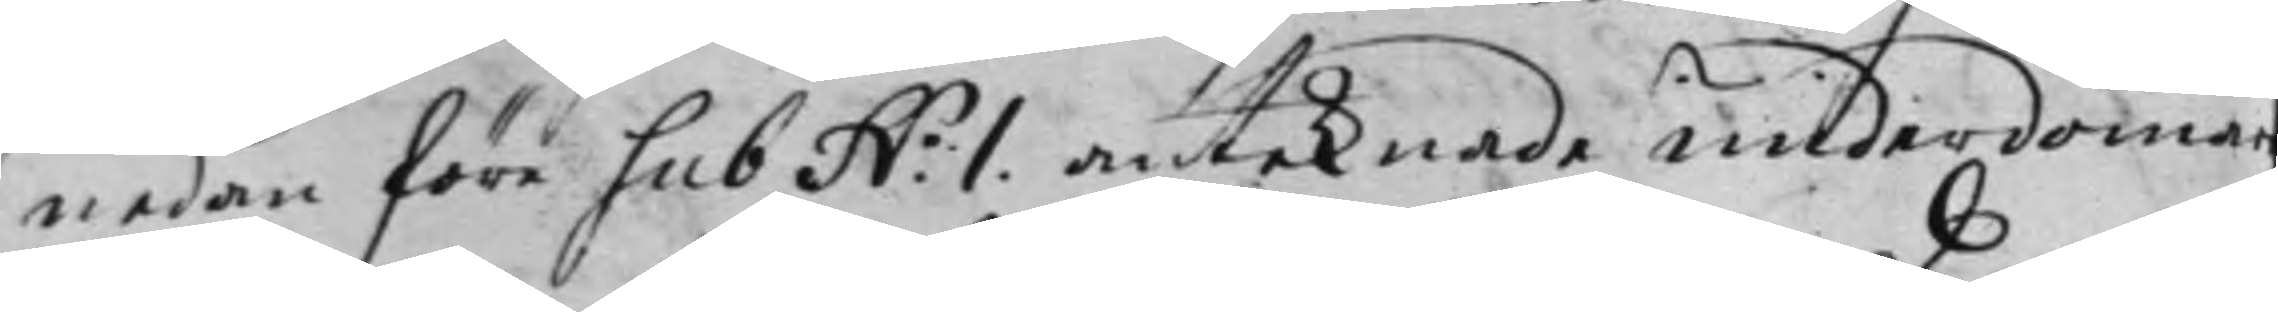nedan före sub N.o 1. anteknade underdomar
